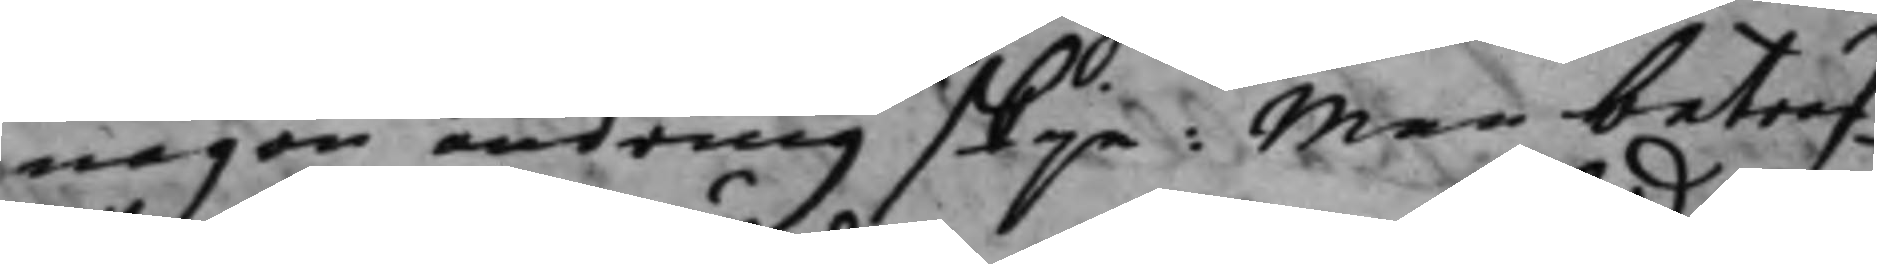någon ändring skje: Men beträf¬
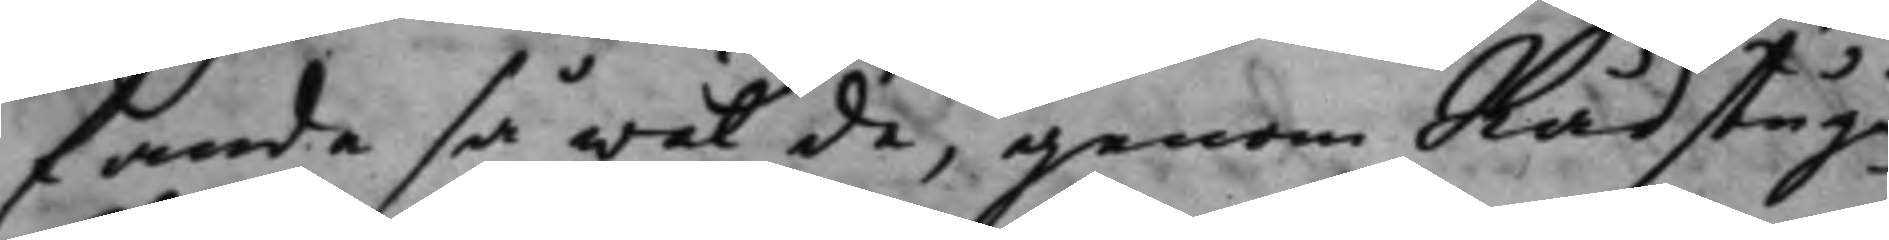fande så wäl de, genom Rådstugu¬
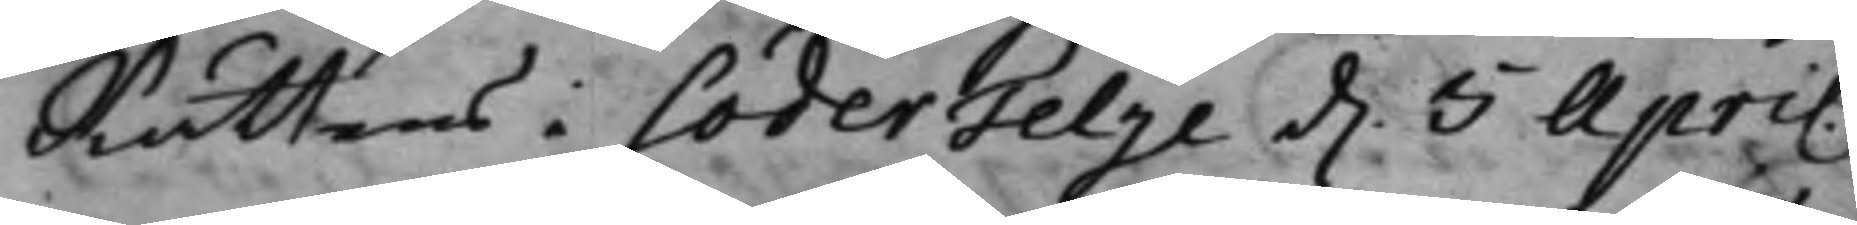Rättens i SöderTelje d. 5 April
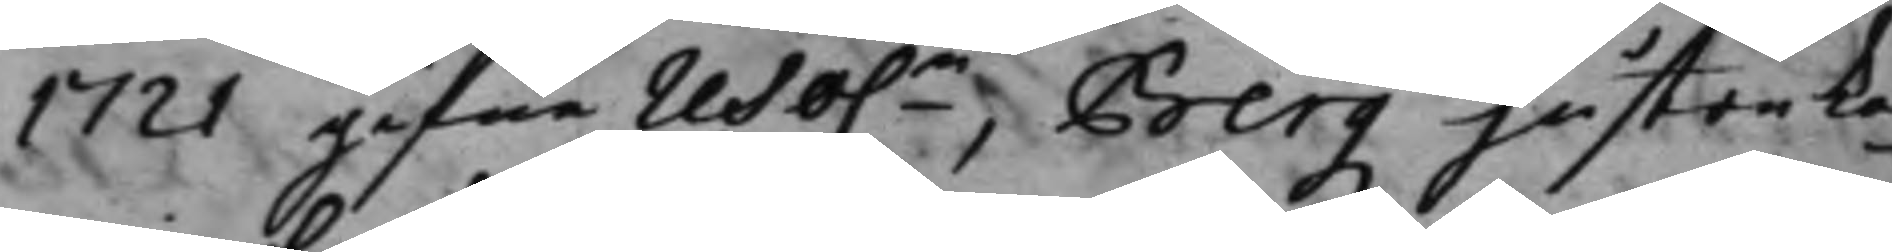1721 gifne reso.n, Bergz hustru Ka¬
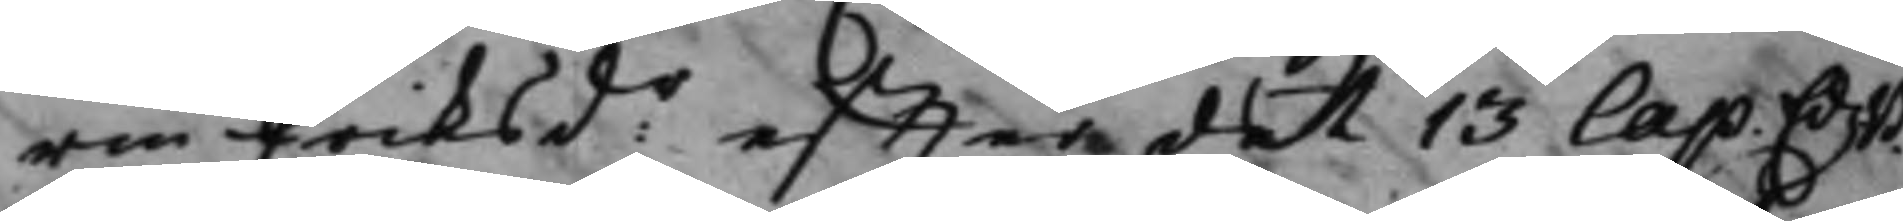rin Eriksd:r effter det 13 Cap. EdzB.
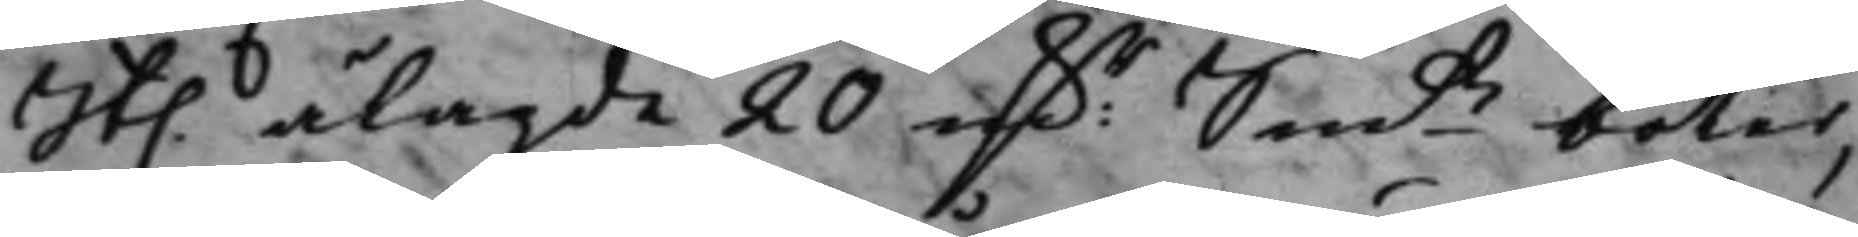St. ålagde 20 mk.r Smts böter,
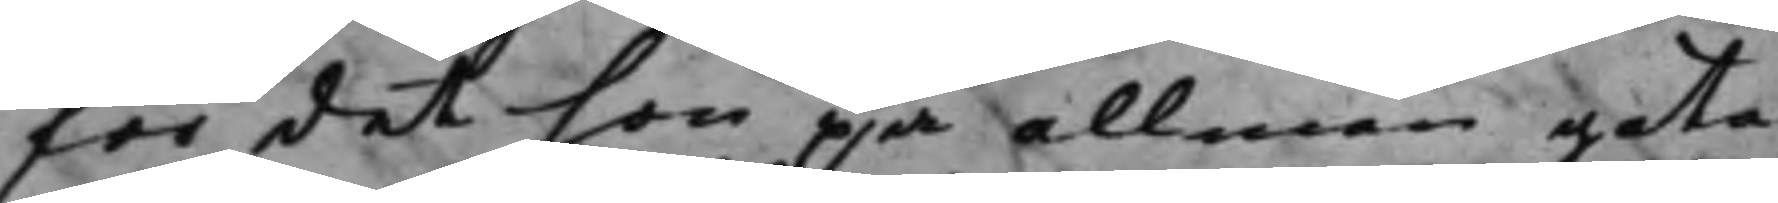för det hon på allmän gata
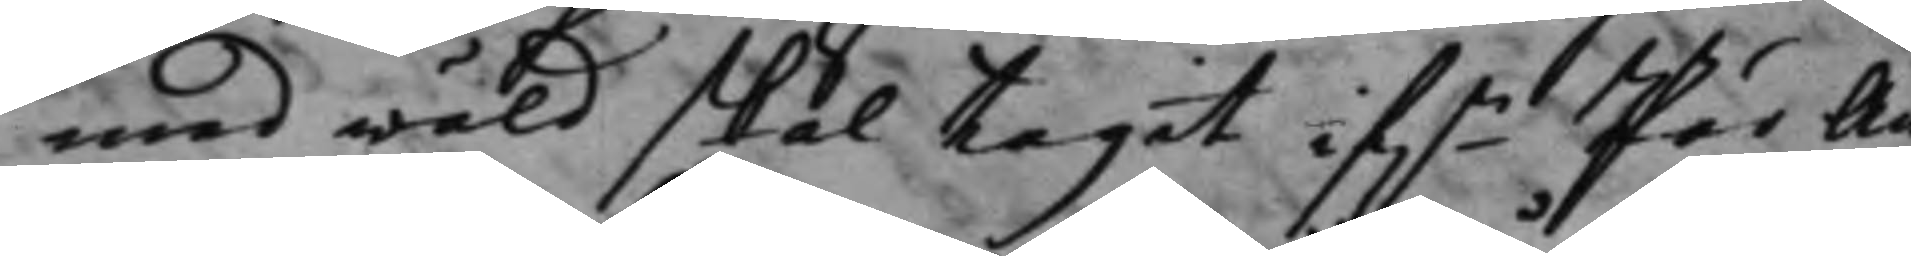med wåld skal tagit if.n Pär An¬
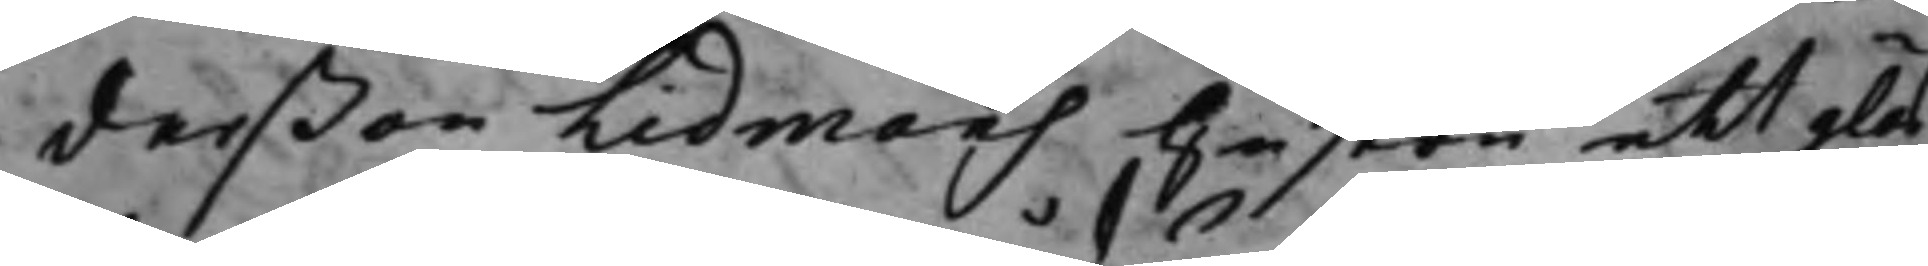derßon Lidmans hustru ett glas,
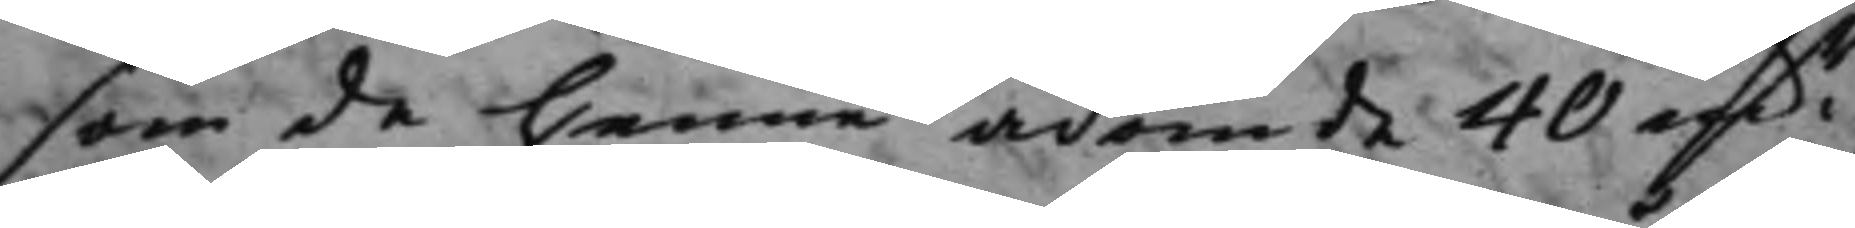som de henne ådömde 40 mk.r
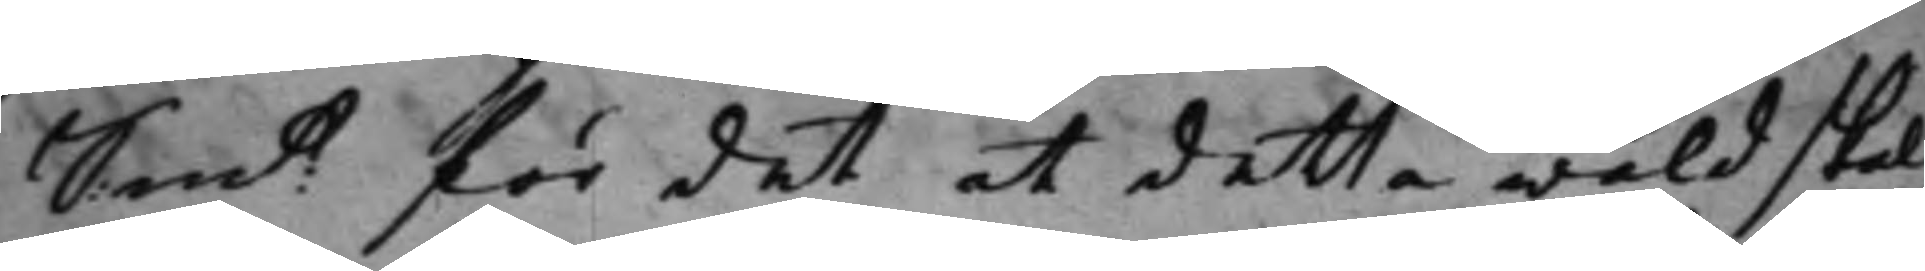Sm:t för det at detta wåld skal
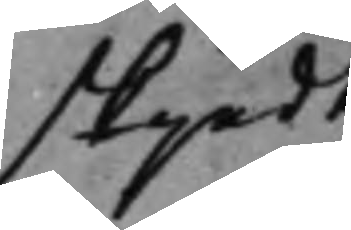skjedt
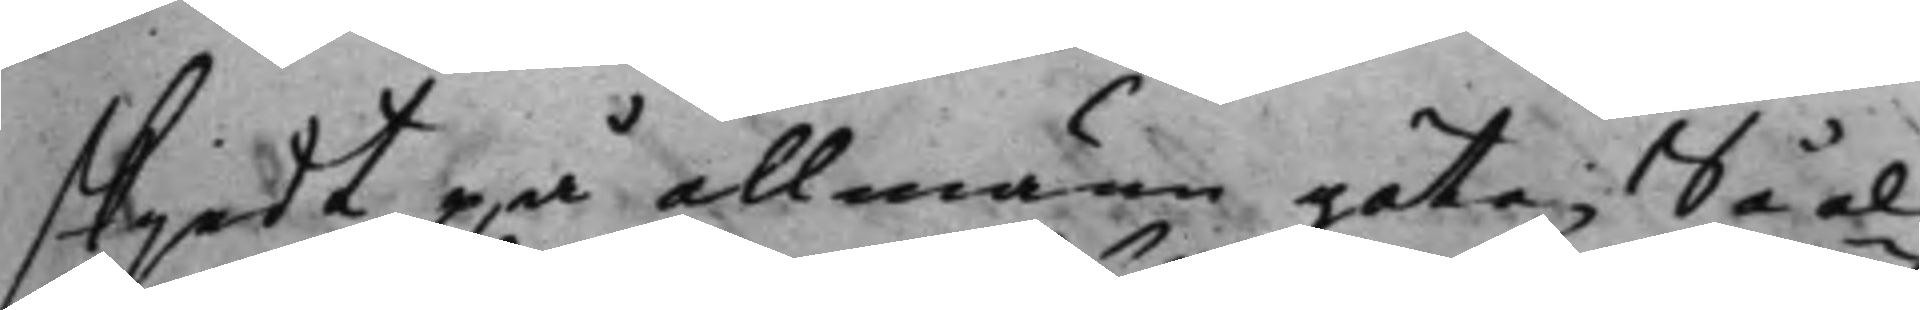skjedt på allmänn gata; Så al¬
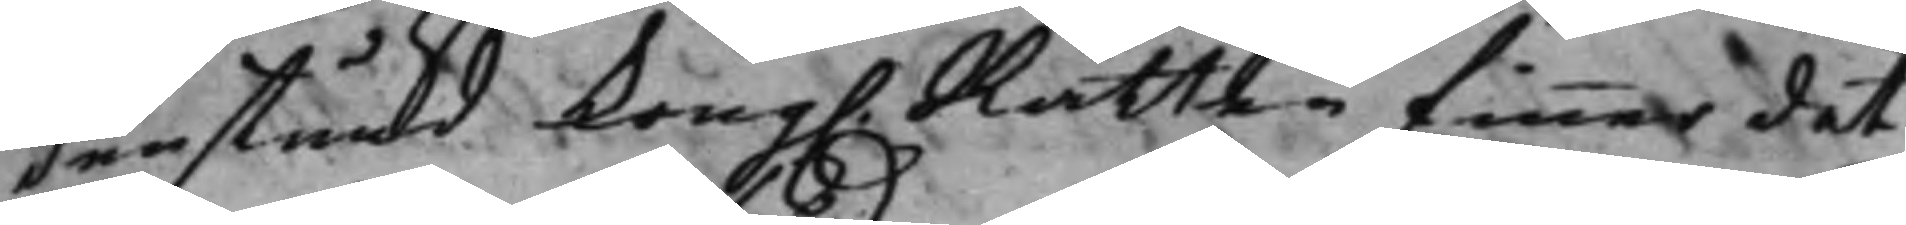denstund Kong. Rätten finner det¬
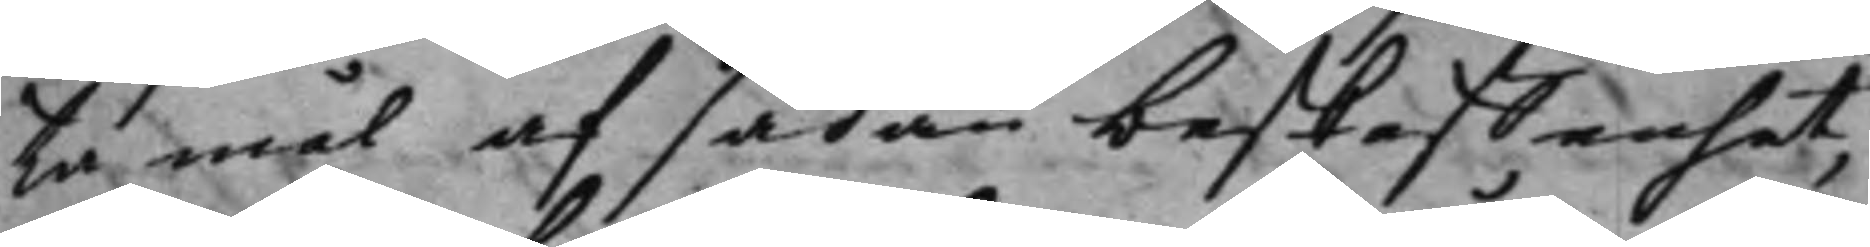ta mål af sådan beskaffenhet,
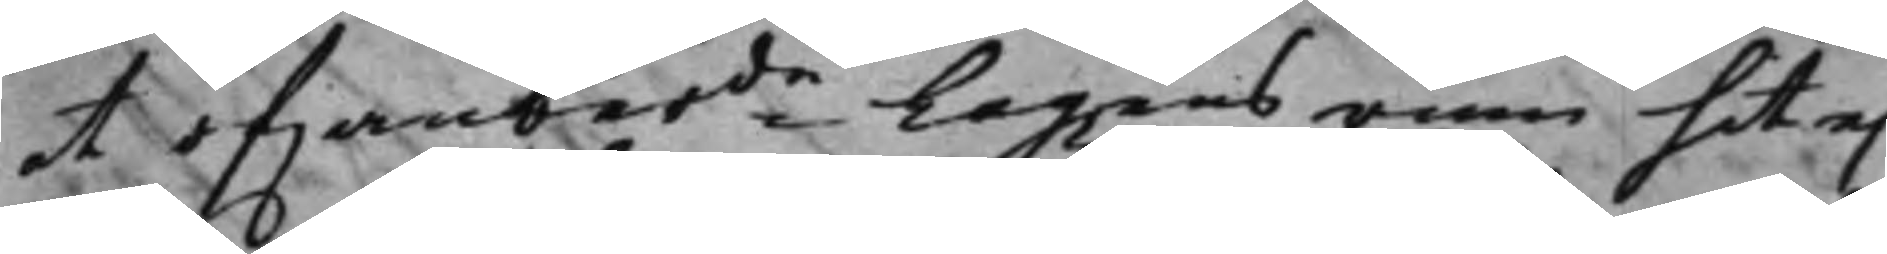at ofwanberde Lagens rum hit ej
